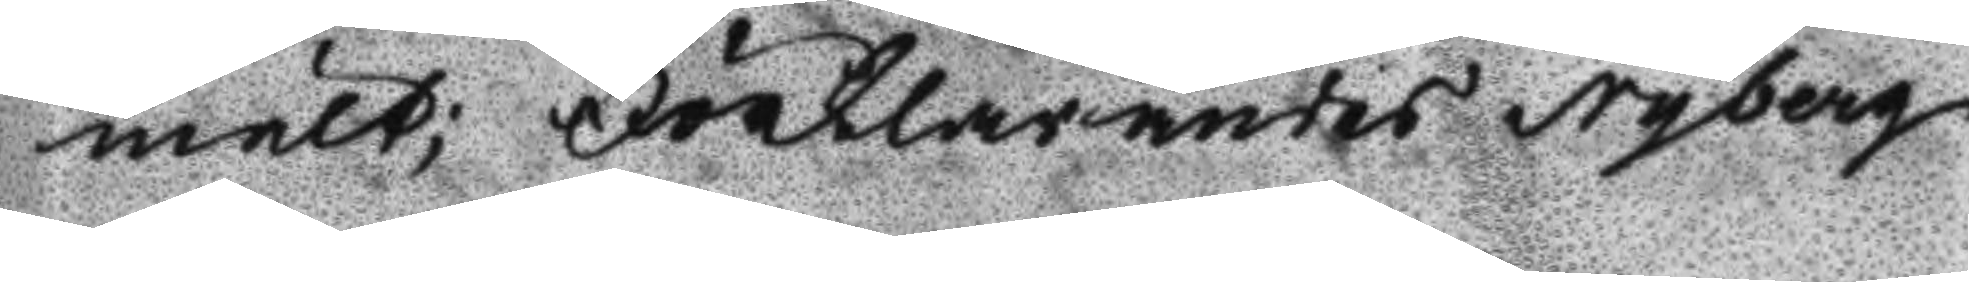mält; Förklarandes Nyberg
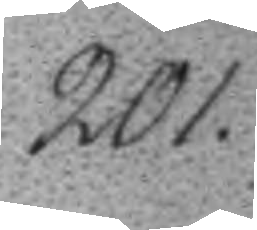201.
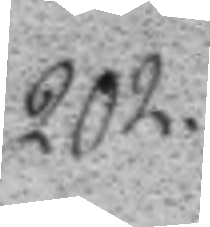202.
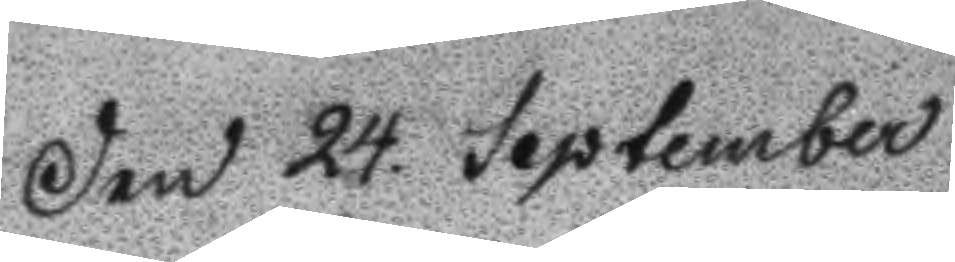Den 24. September
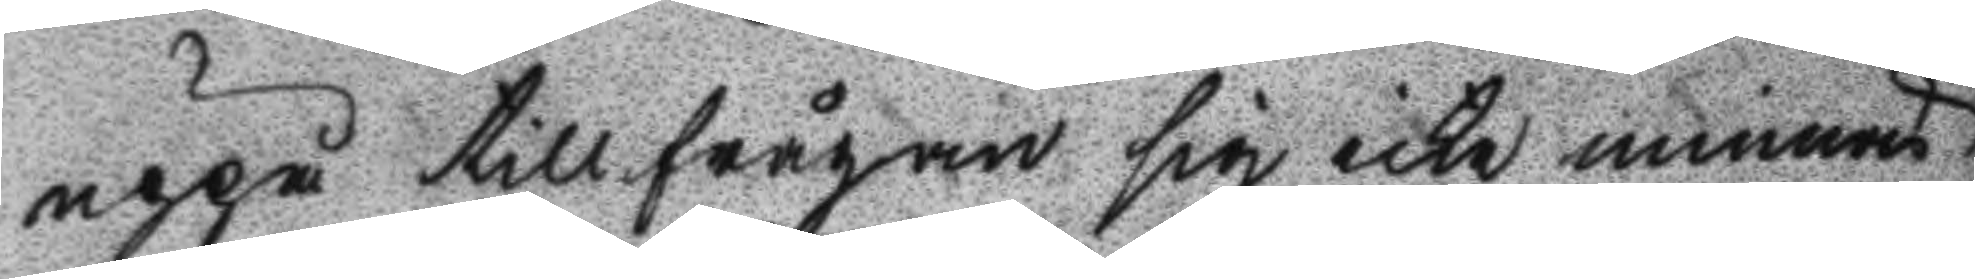uppå tillfrågan sig icke minnas
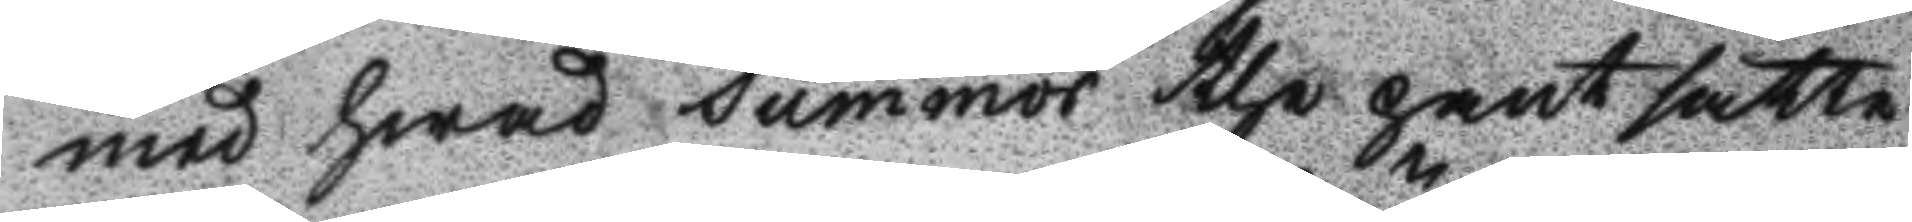med hwad summor the pantsatte
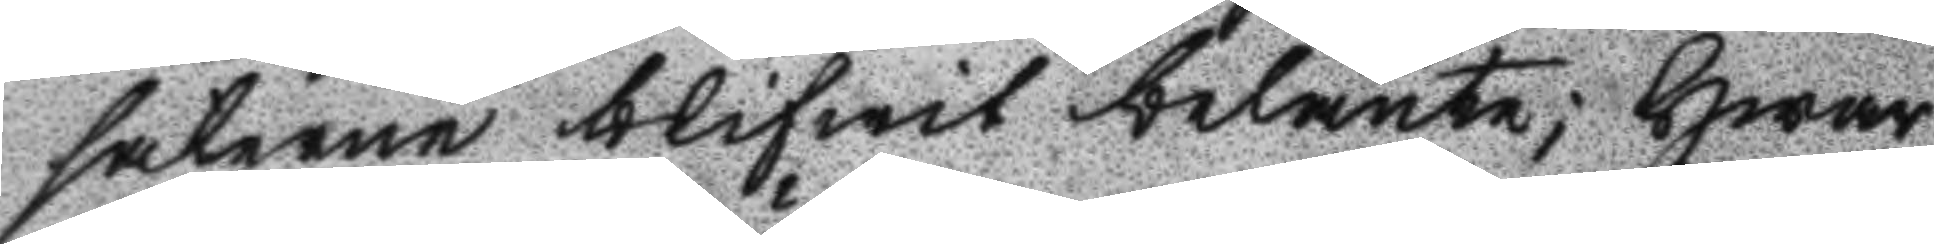sakerne blifwit belånte; Hwar
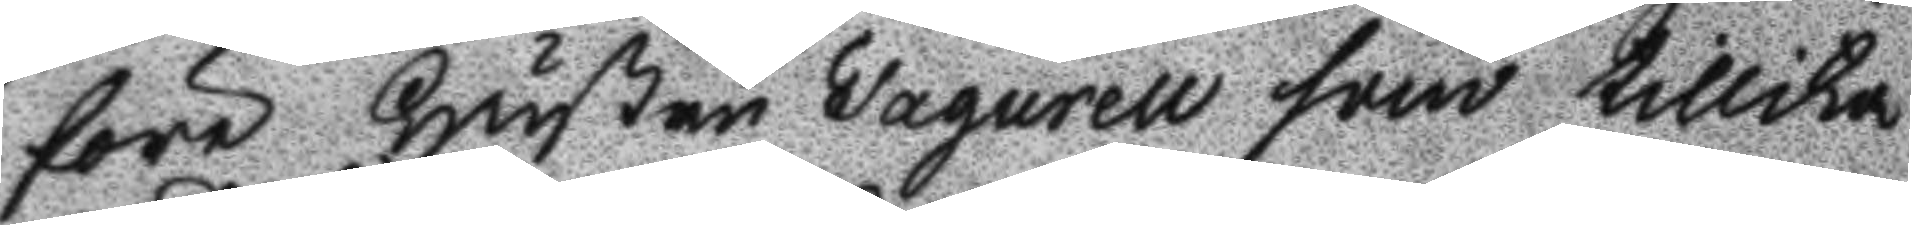före Hustru Fagurell som tillika
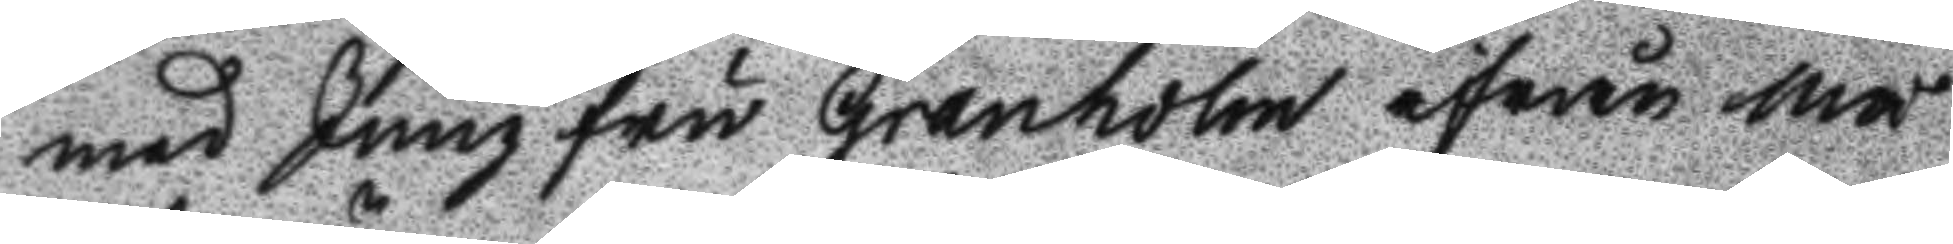med Jungfru Granholm ifrån må
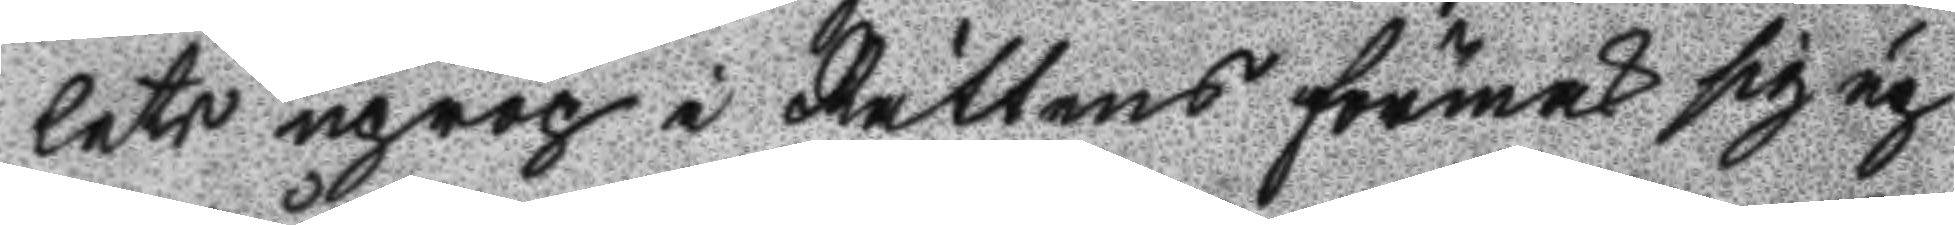lets uprop i Rättens förmak sig up
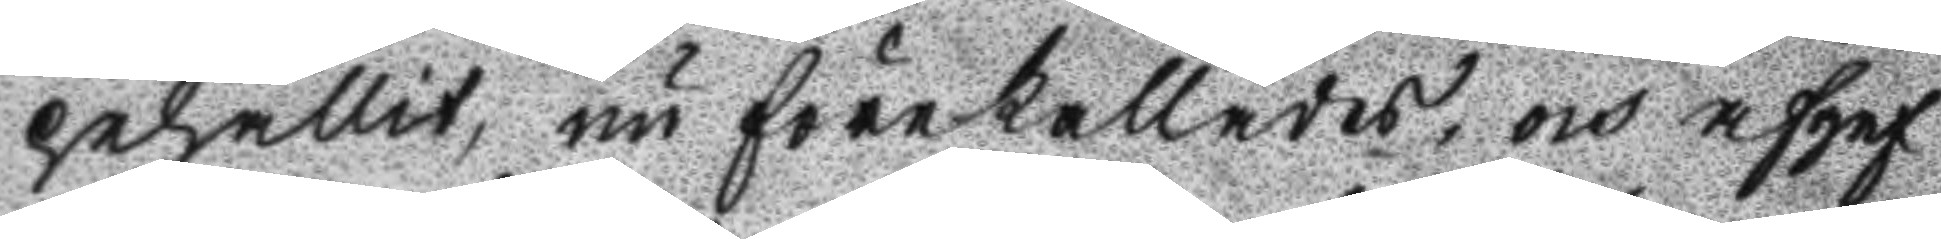pehållit, nu förekallades, och afgaf
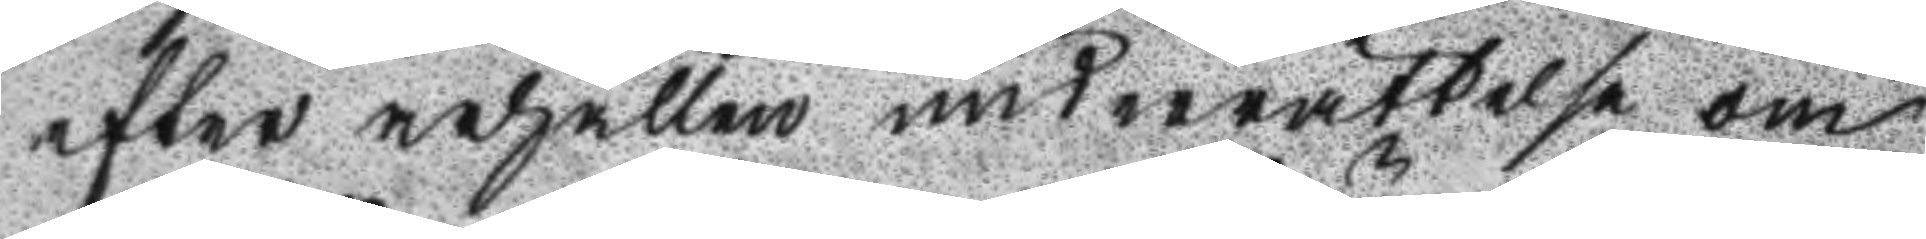efter ärhållen underrättelse om
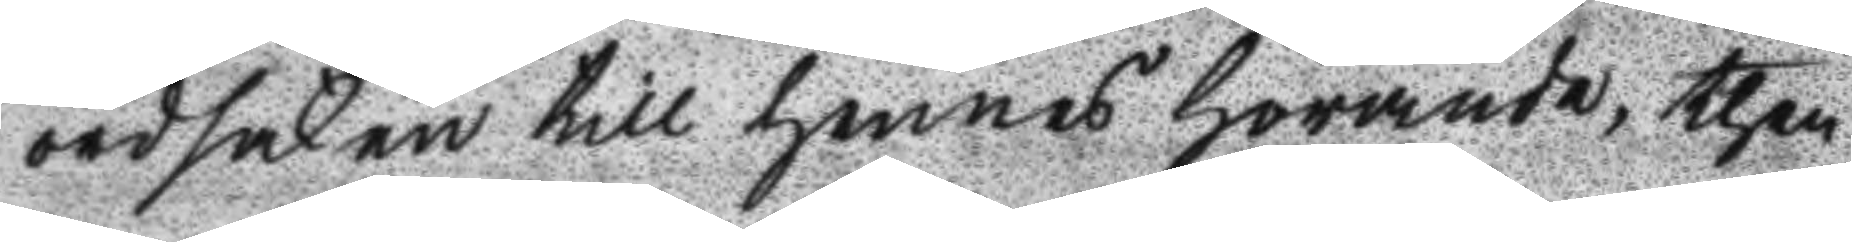ordsaken till hennes hörande, then
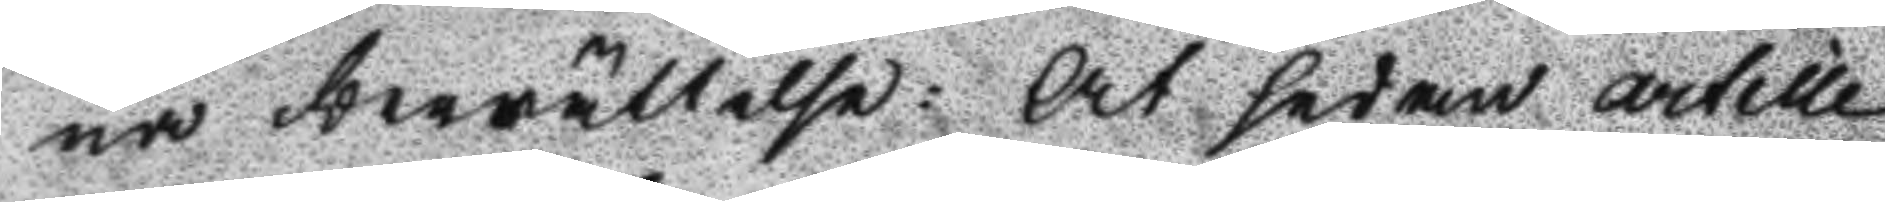na berättelse: At sedan artille
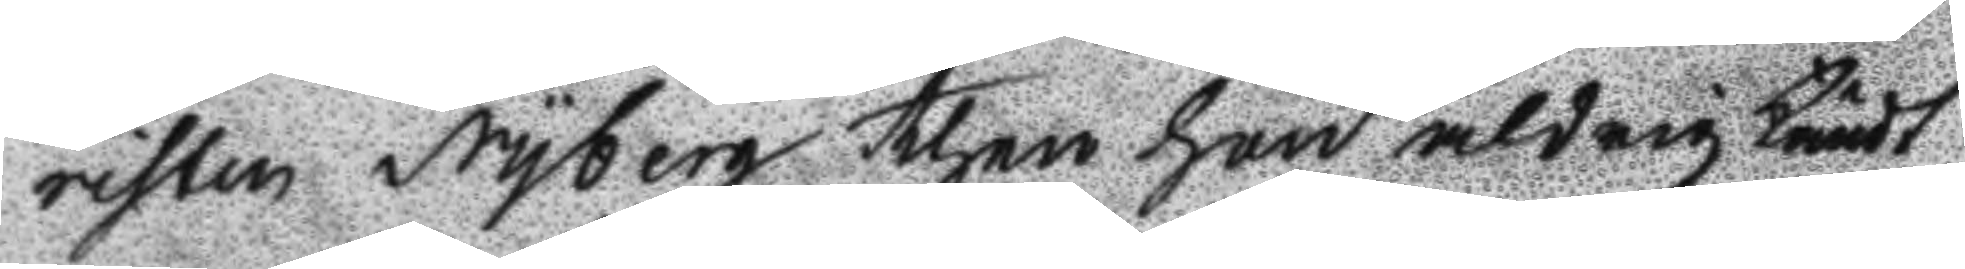risten Nyberg then hon aldrig kändt
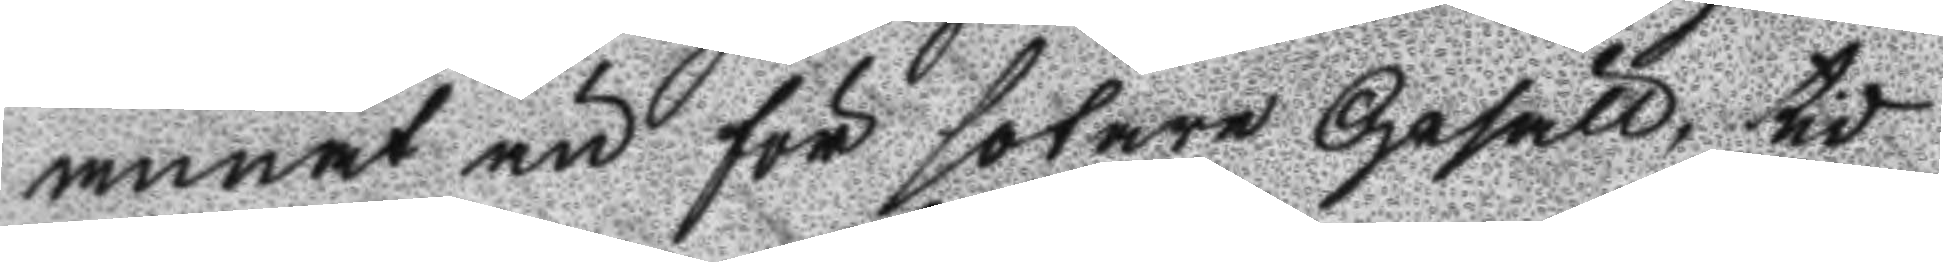annat än för sotare Gesäll, tid
